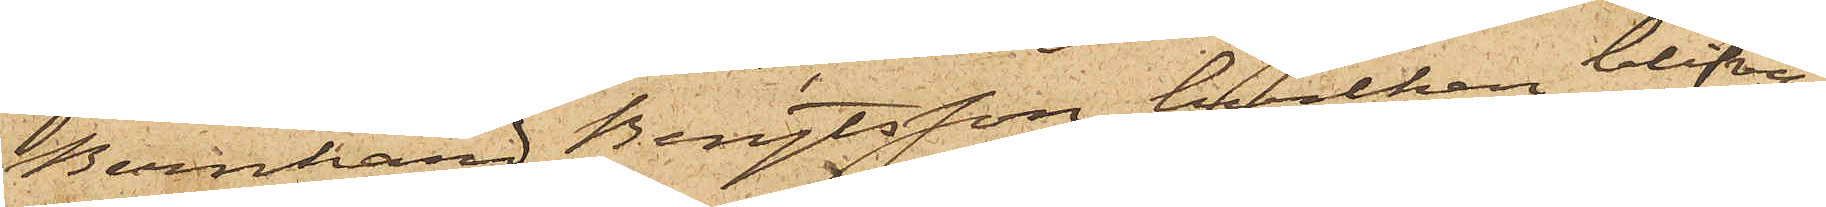Bernhard Bengtsson, hvilken blifvit
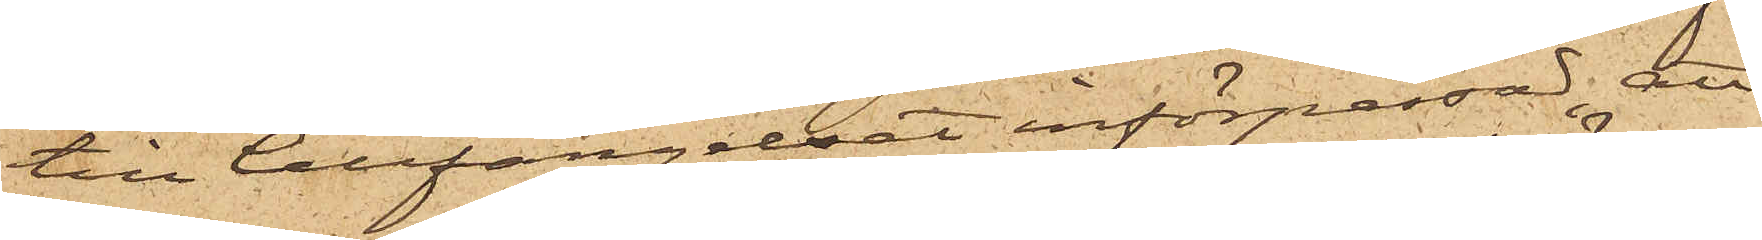till Cellfängelset införpassad; att
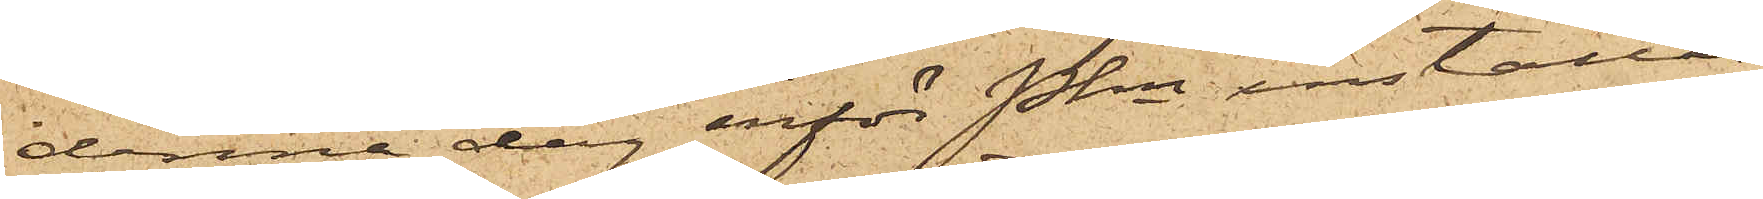denna dag inför Pkn inställas.
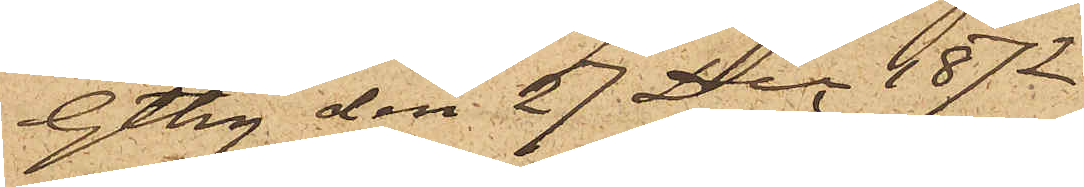Gtbg den 27 Dec. 1872.
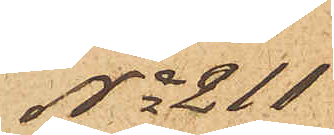No 211
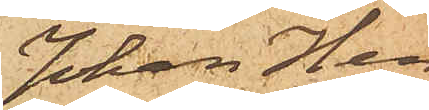Johan Hen¬
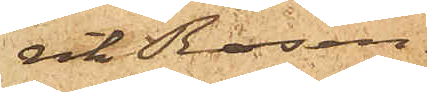rik Rosen¬
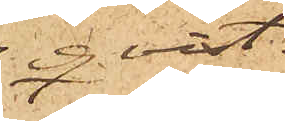qvist.
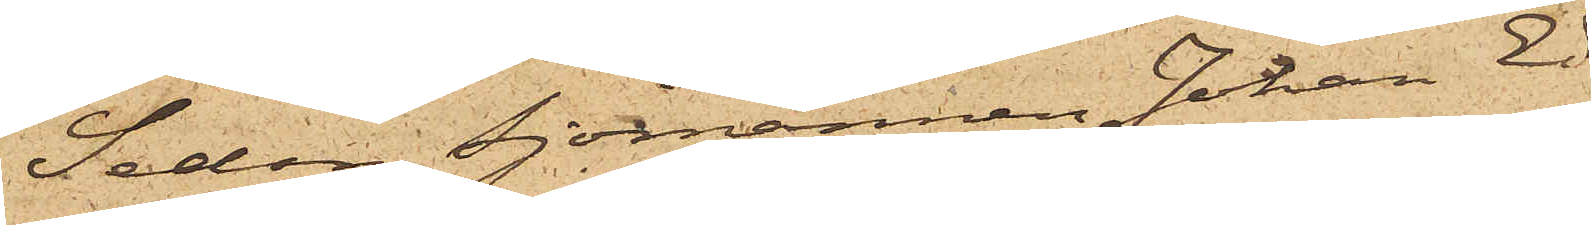Sedan Sjömannen Johan Ed¬
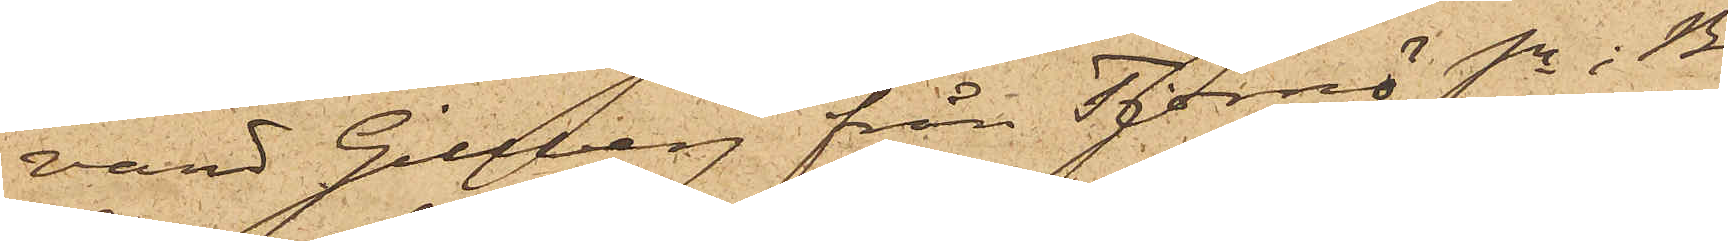vard Gillberg från Tjörnö Sn i Bo¬
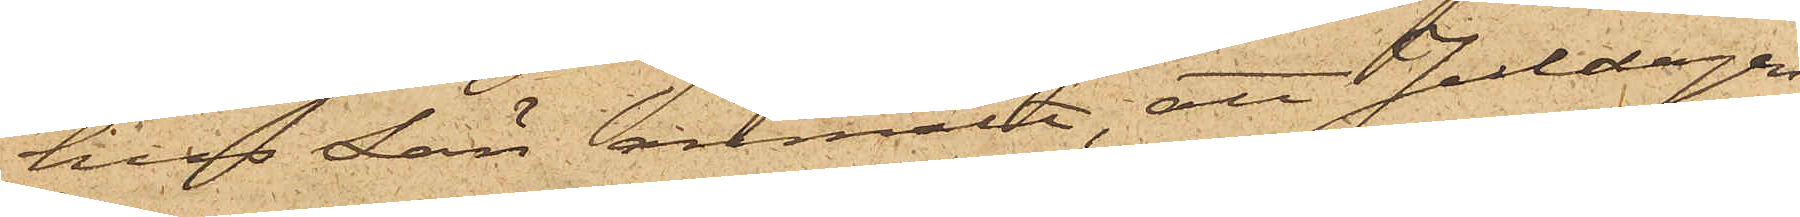hus Län anmält, att Juldagen
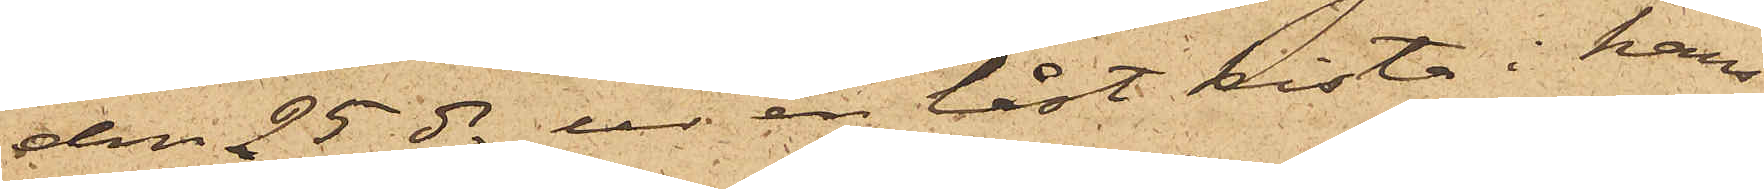den 25 ds ur en låst kista i hans
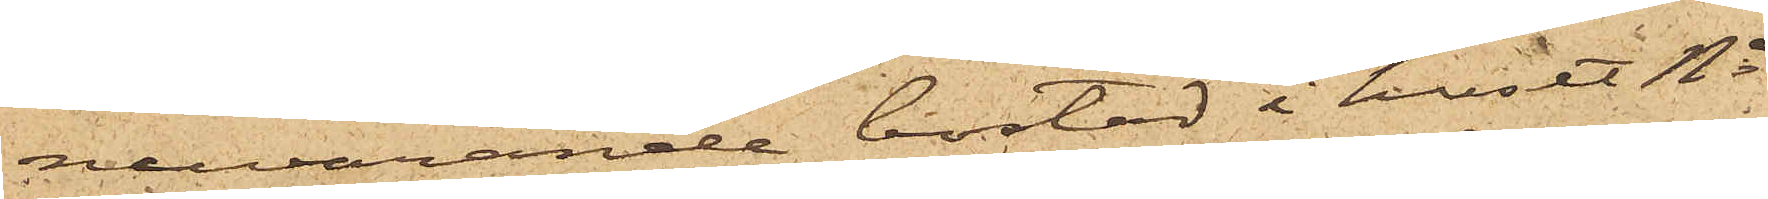närvarande bostad i huset No
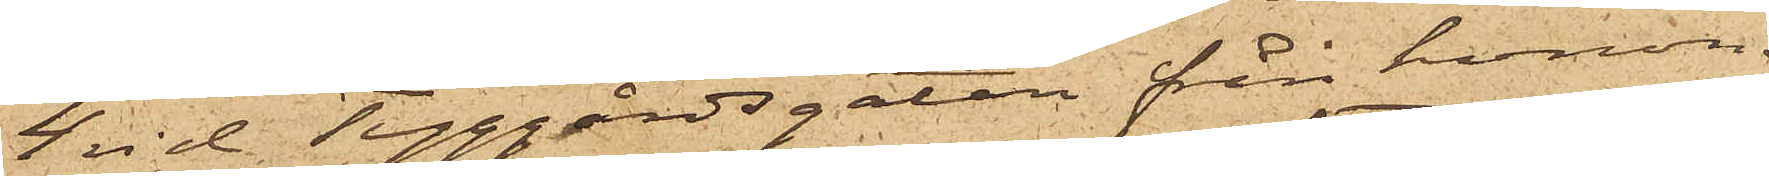4 vid Tyggårdsgatan från honom
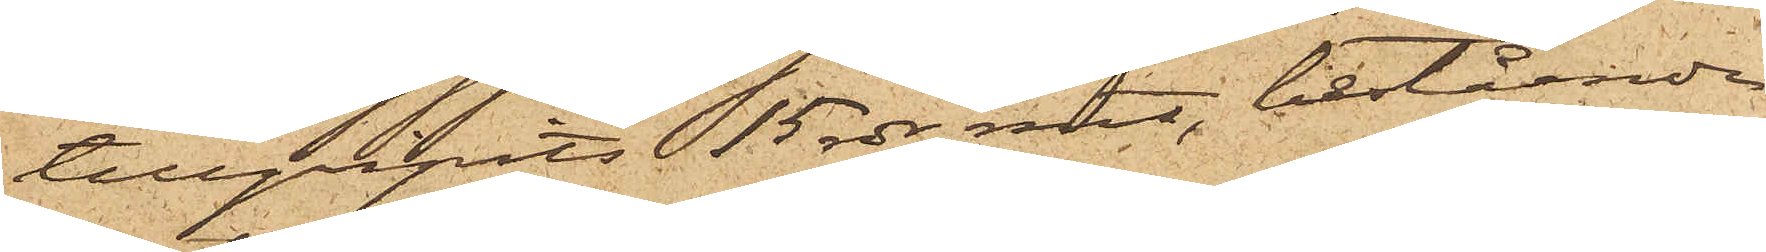tillgripits 15 rdr rmt, bestående
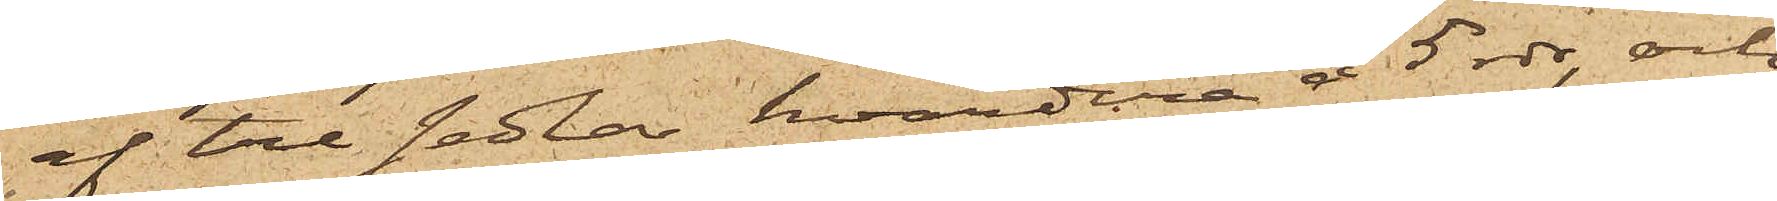af tre sedlar, hvardera å 5 rdr, och
